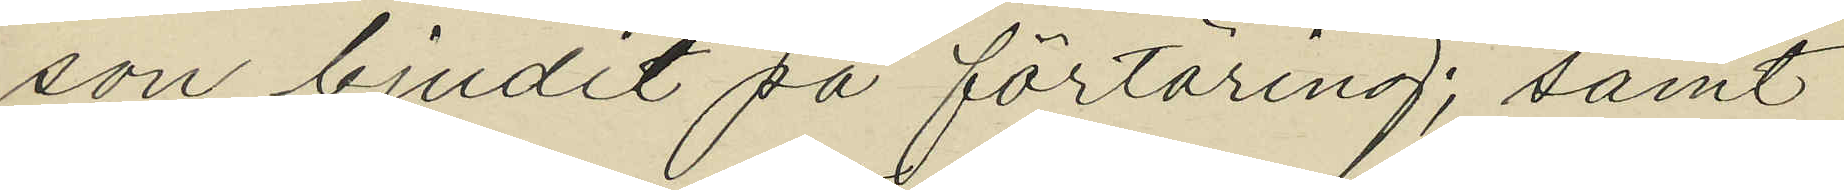son bjudit på förtäring; samt
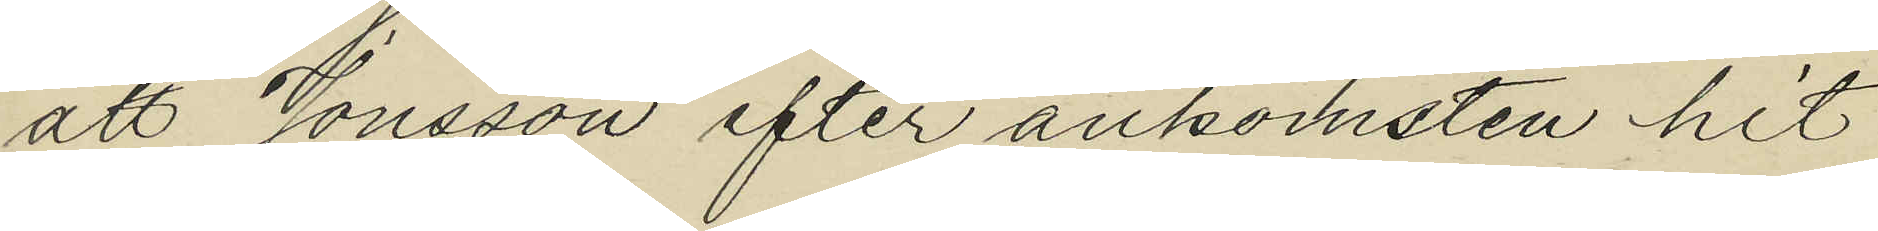att Jonsson efter ankomsten hit
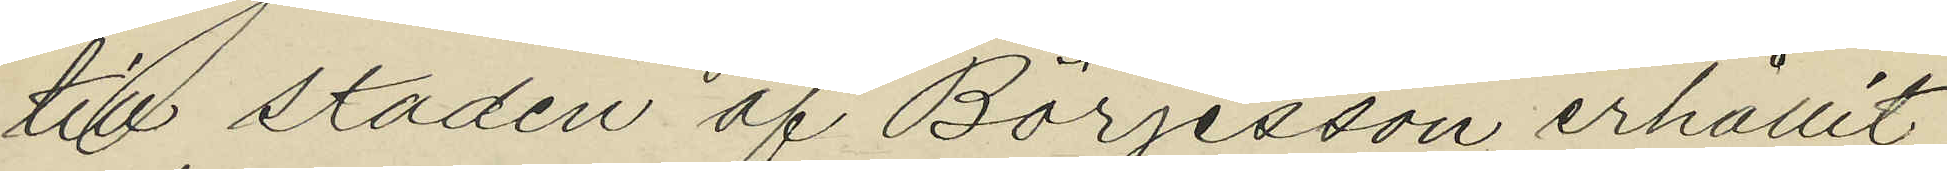till staden af Börjesson erhållit
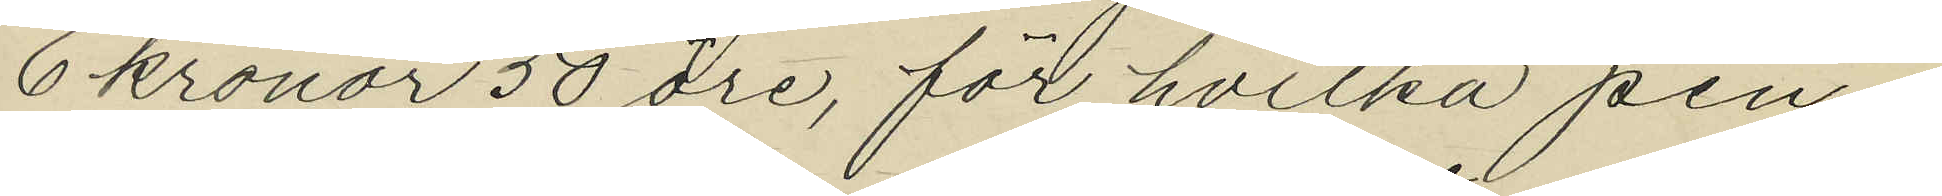6 kronor 50 öre, för hvilka pen¬
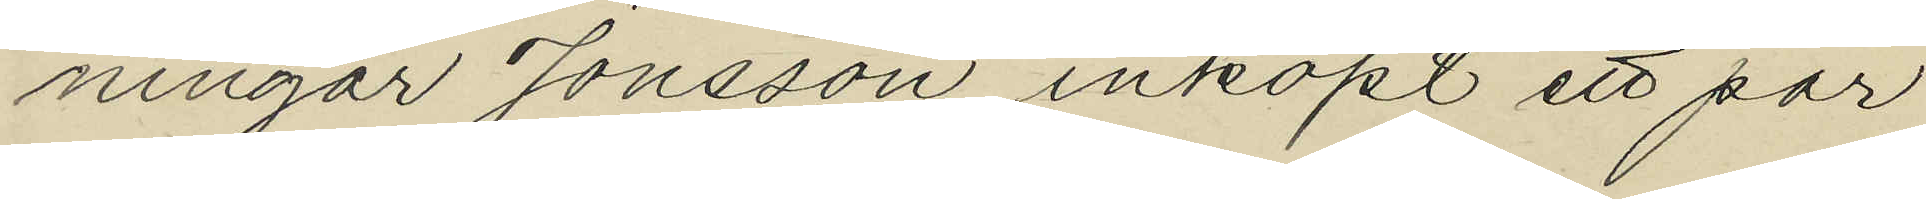ningar Jonsson inköpt ett par
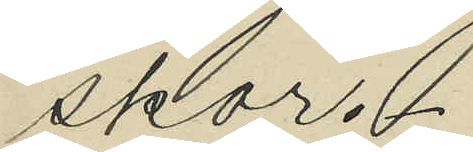skor.
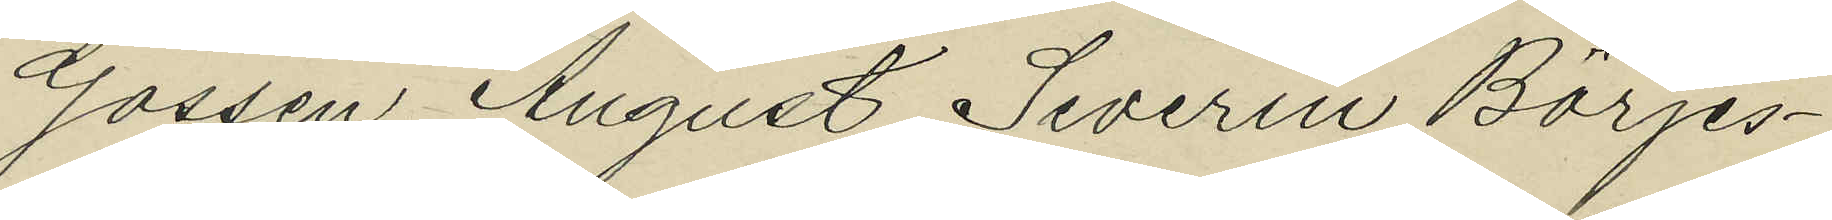Gossen August Severin Börjes¬
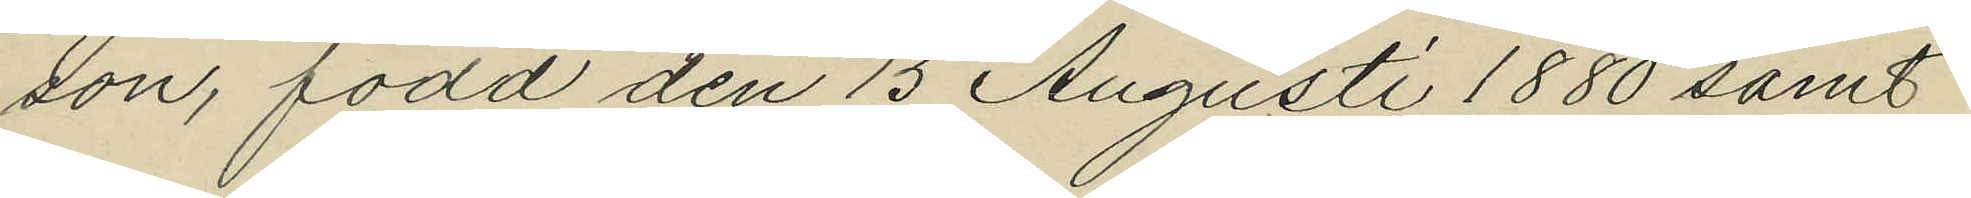son, född den 15 Augusti 1880 samt
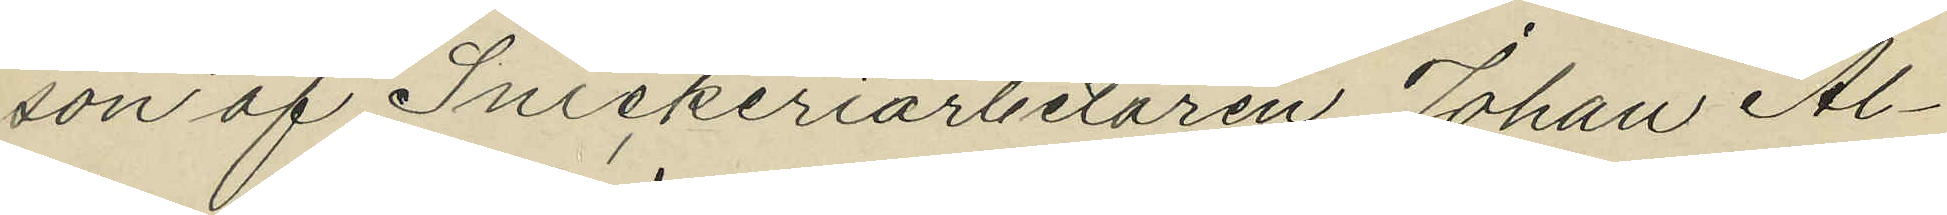son af Snickeriarbetaren Johan Al¬
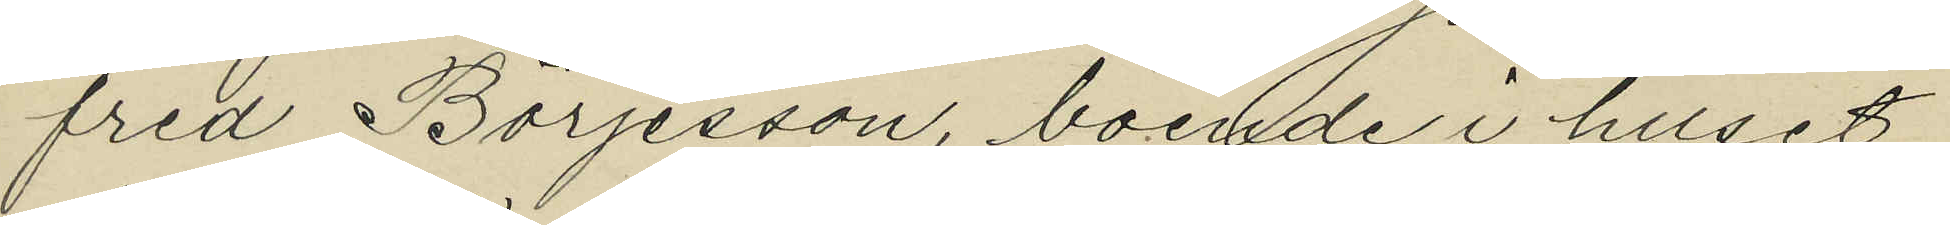fred Börjesson, boende i huset
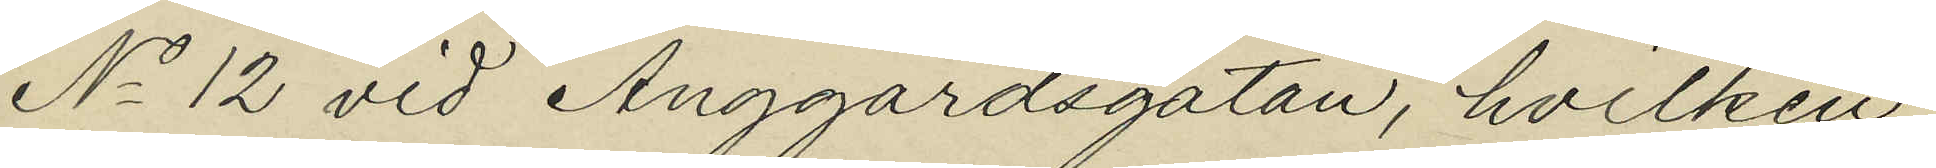No 12 vid Änggårdsgatan, hvilken
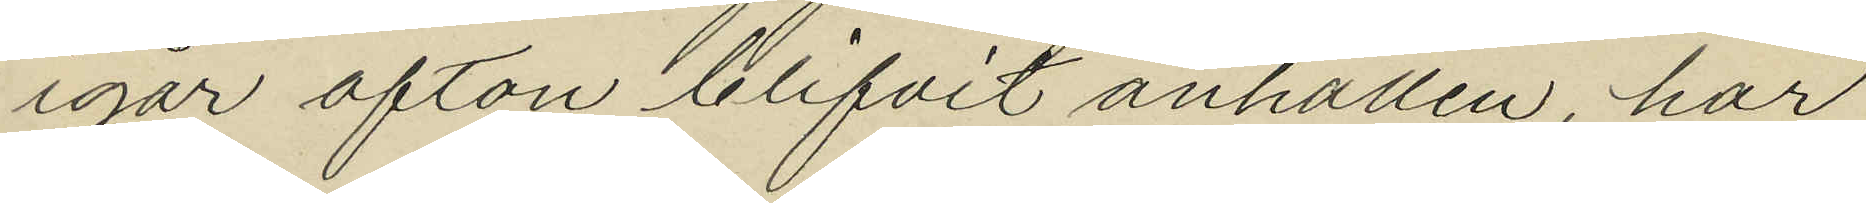igår afton blifvit anhållen har
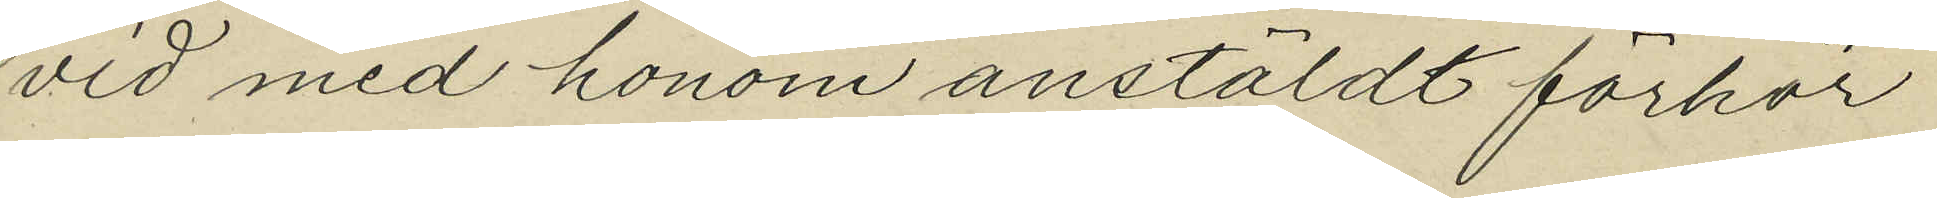vid med honom anstäldt förhör
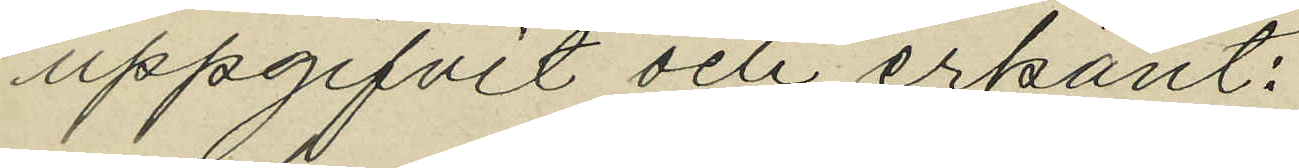uppgifvit och erkänt:
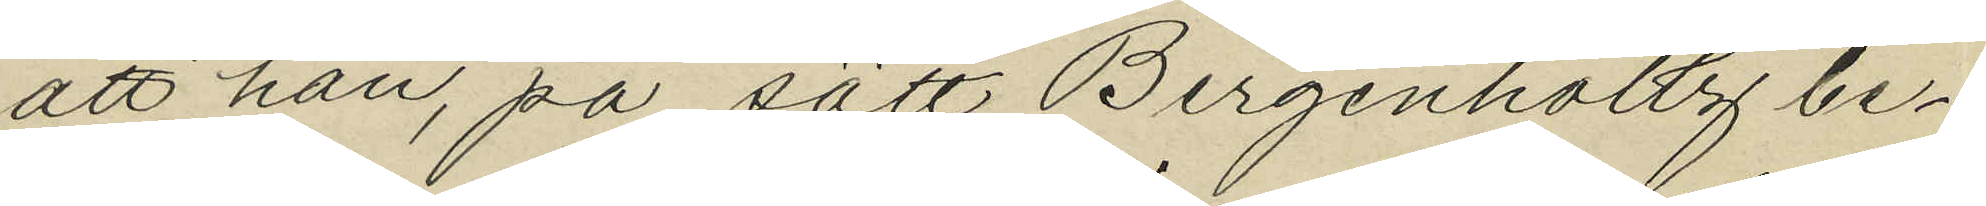att han, på sätt Bergenholtz be¬
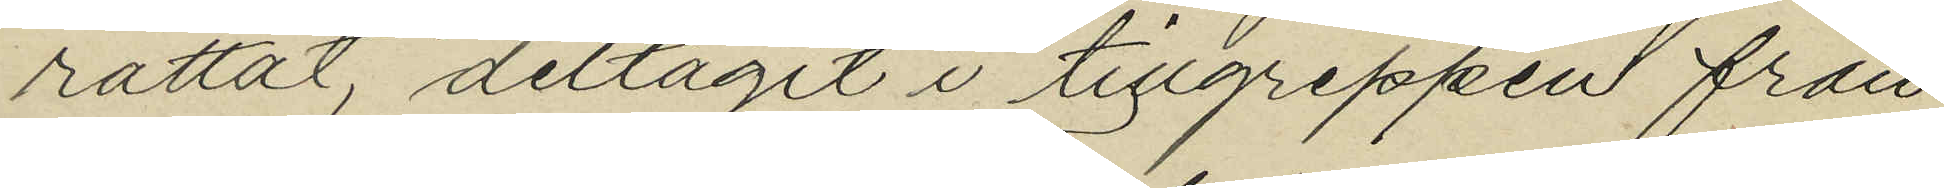rättat, deltagit i tillgreppen från
